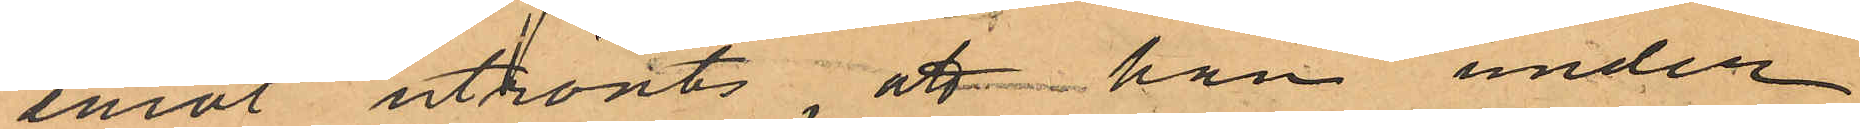emot utrönts, att han under
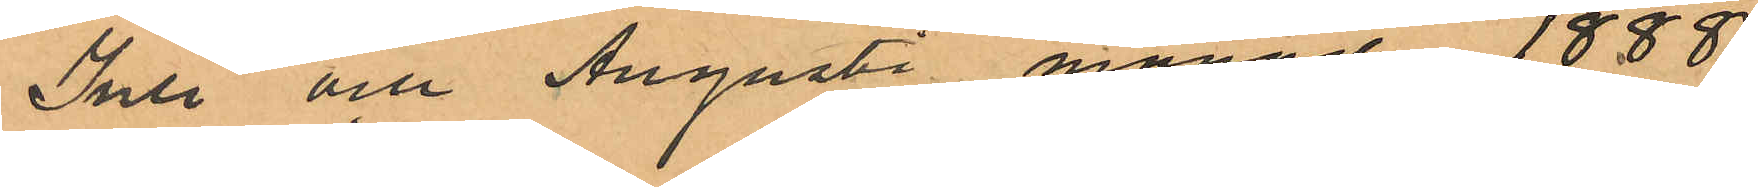Juli och Augusti månad 1888
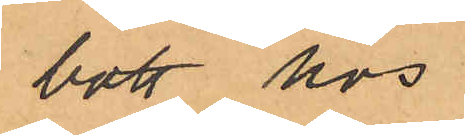bott hos
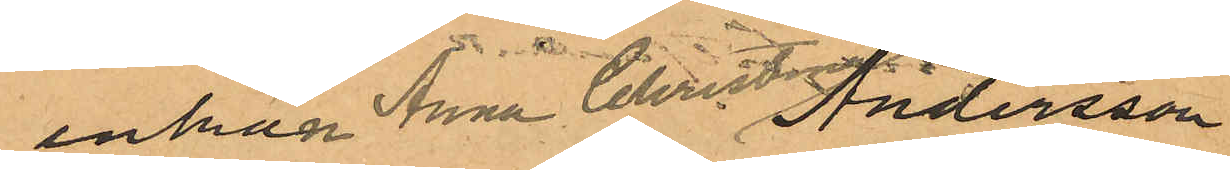enkan Anna Christina Andersson
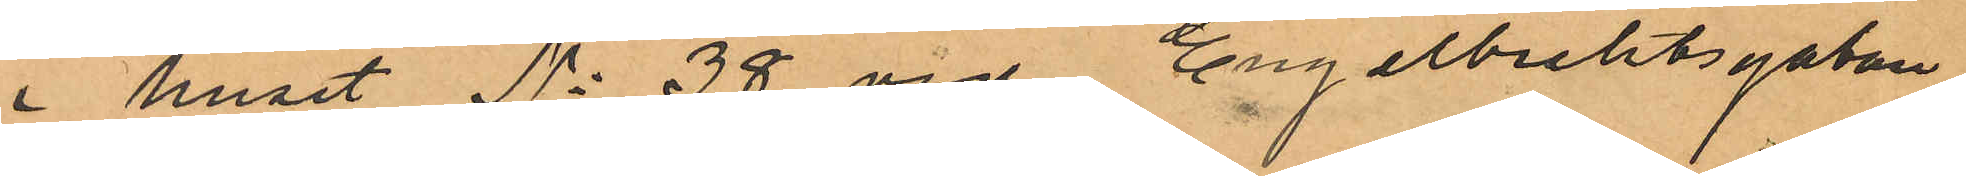i huset No 38 vid Engelbrektsgatan
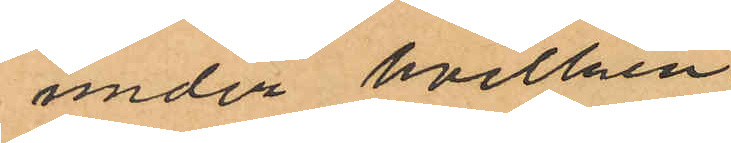under hvilken
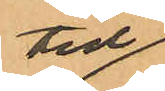tid
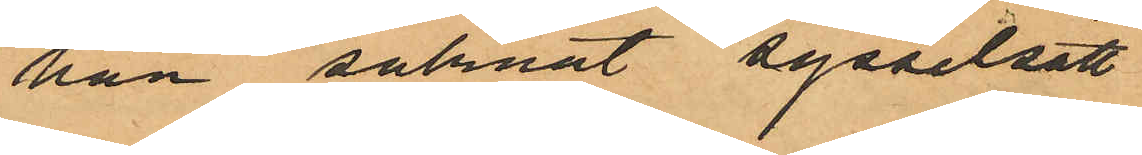han saknat sysselsätt
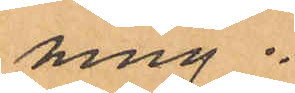ning.
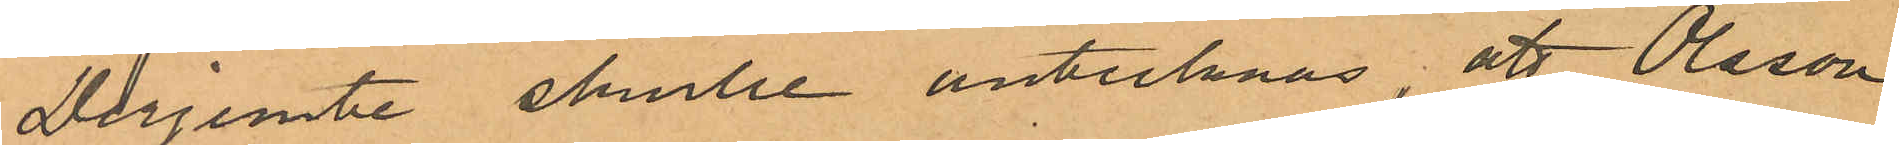Därjemte skulle antecknas att Olsson
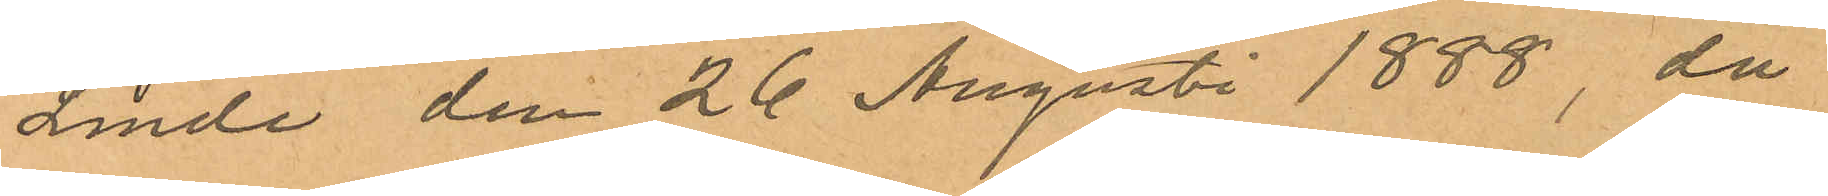Linde den 26 Augusti 1888, då
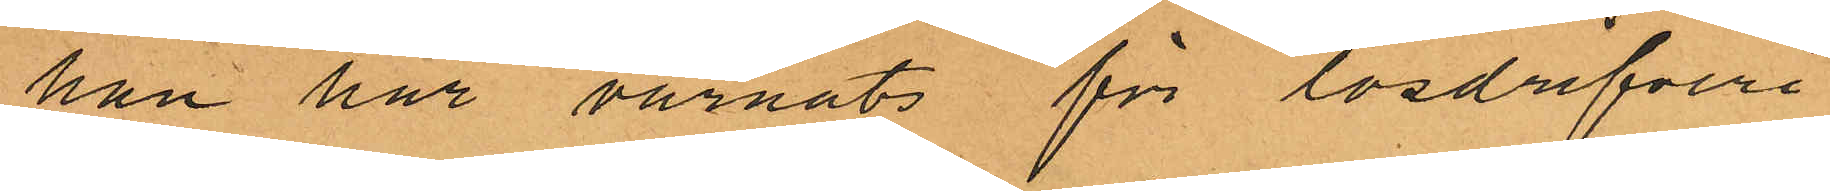han här varnats för lösdrifveri
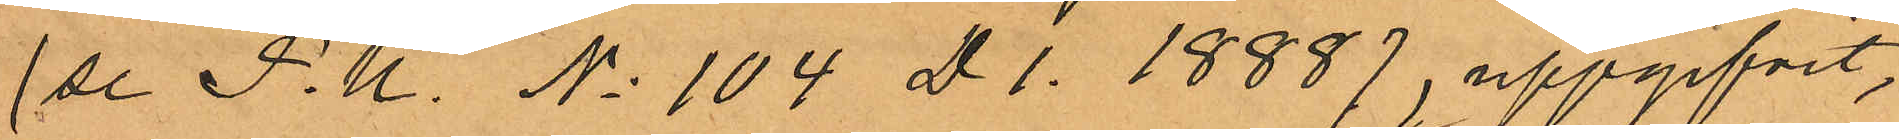(se P.K. No 104 D l. 1888), uppgifvit,
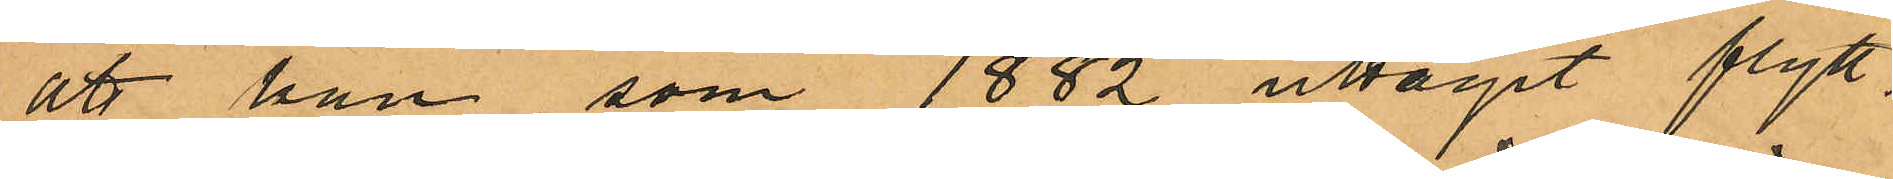att han som 1882 uttagit flytt¬
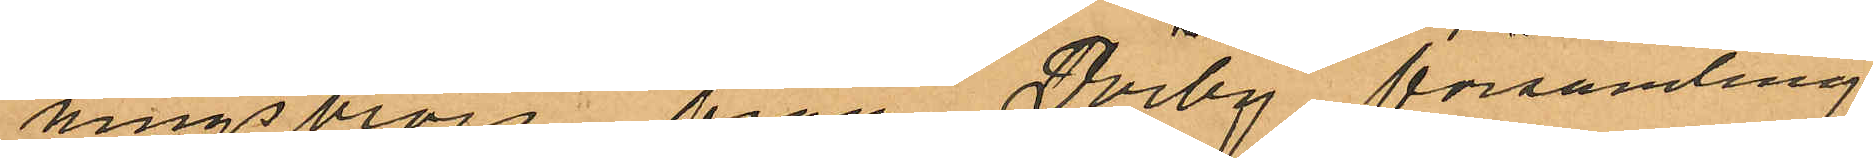ningsbevis från Dörby församling
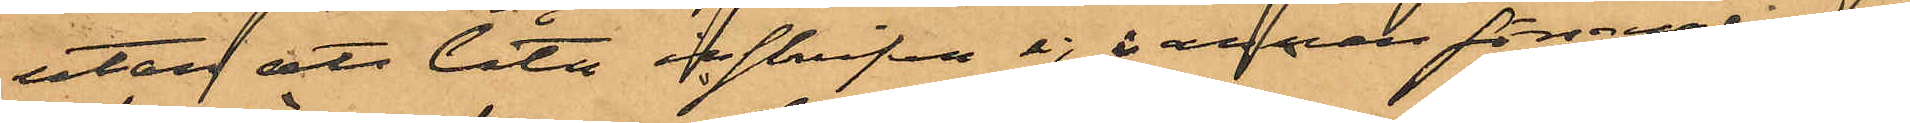utan att låta inskrifvas ej å annan församling
